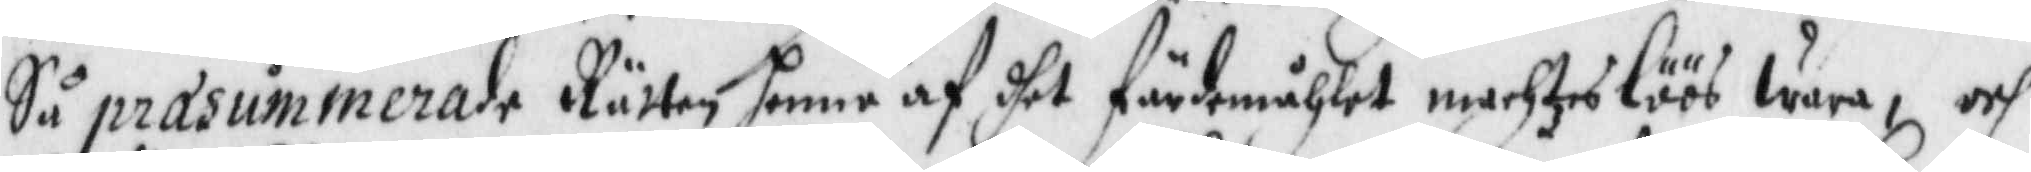Så præsummerade Rätten henne af dhet färdmåhlet machteslöös wara, och
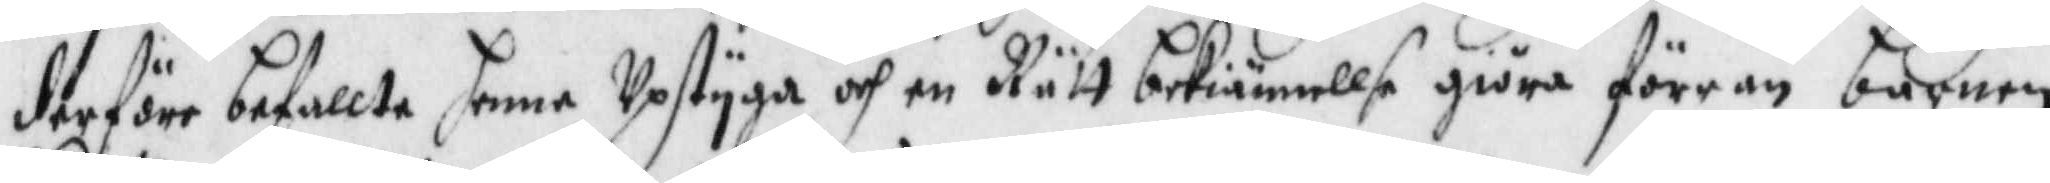derföre befallte henne Upstyga och en Rätt bekiännellse giöra förrän barnen
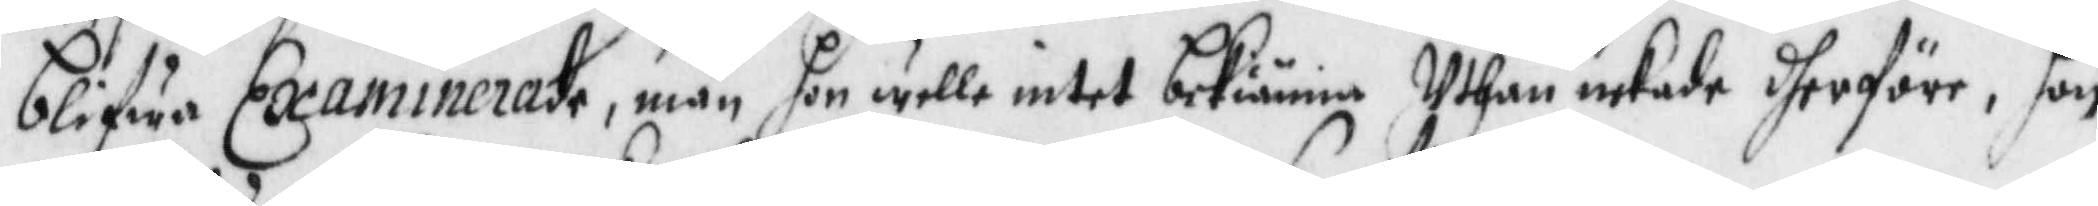blifwa Examinerade, män hon wille intet bekiänna Uthan nekade dherföre, hon
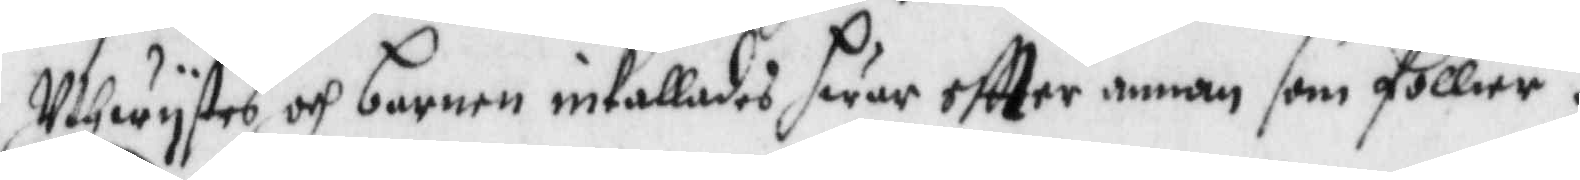Uthwystes och barnen inkallades hwar eftter annan som föllier.
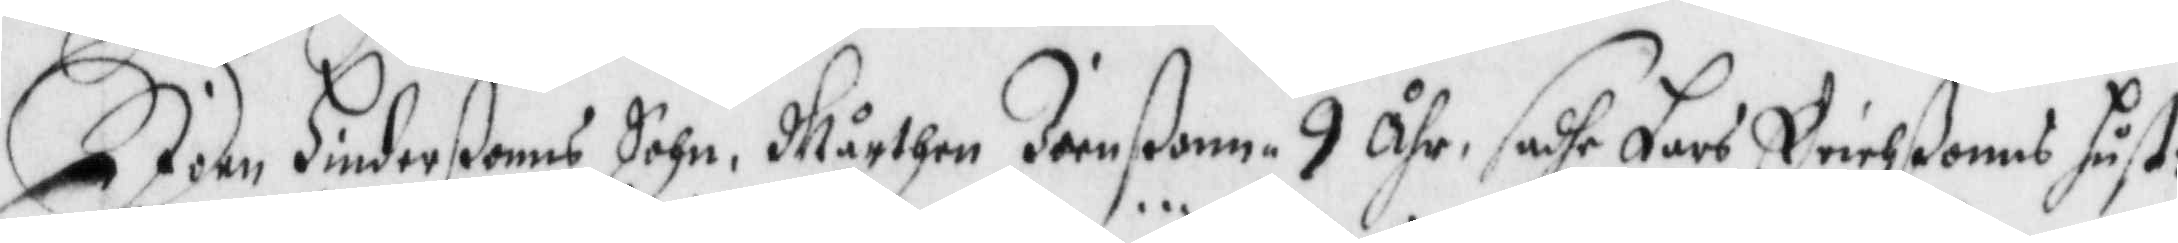Joen Hinderßonns Sohn, Mårthen Joenßonn 9 åhr, sadhe Lars Erichßonns hust:
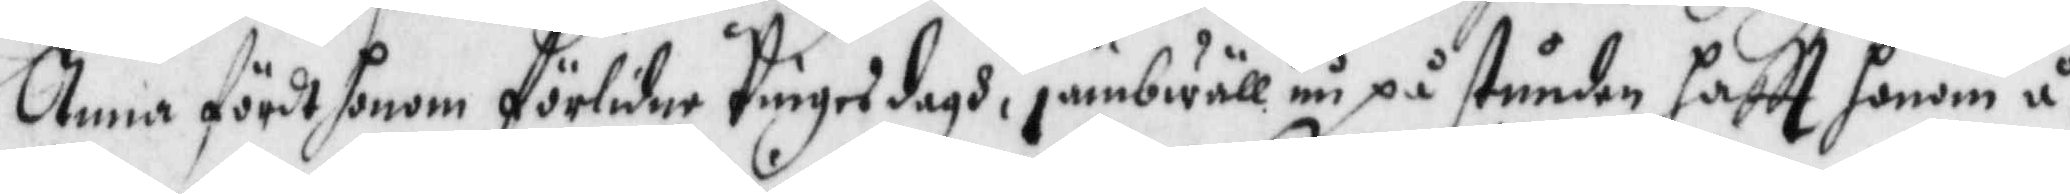Anna fördt honom förlidne Pingesdagh, jämbwäll nu på stunden haftt honom å¬
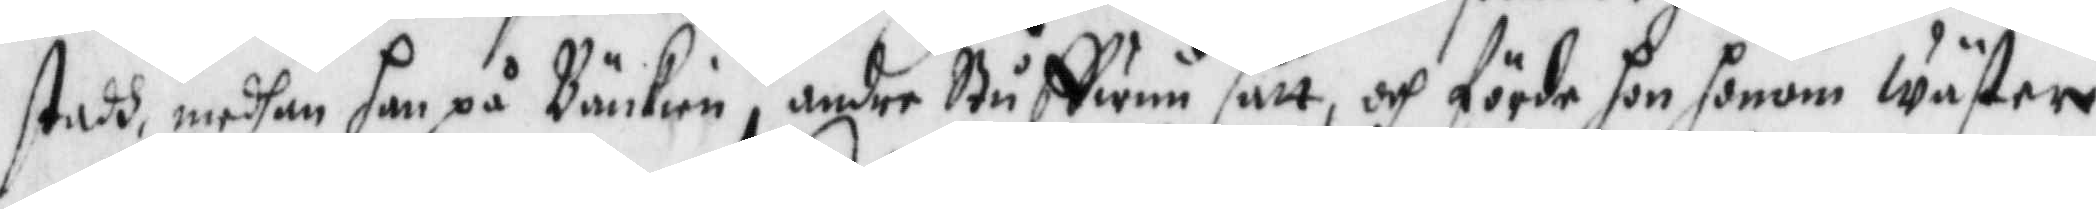stadh, medhan han på Bänkien, andre Styffwum satt, och förde hon honom wäster
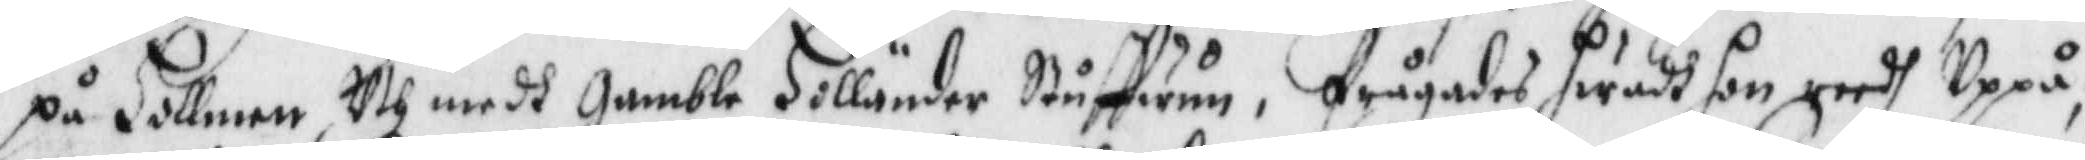på Hollmen Uth medh gamble Hollander Stuffwum, frågades hwadh hon reedh Uppå,
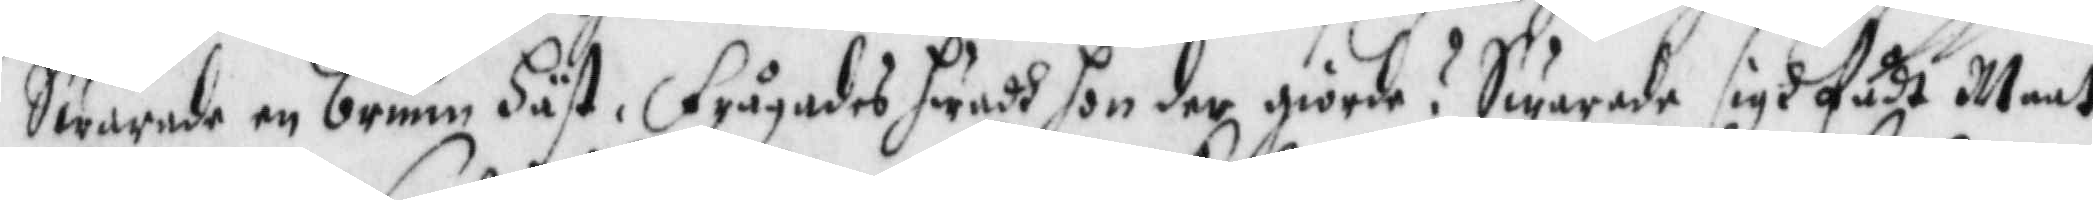Swarade en brunn Häst, Frågades hwadh hon der giorde? Swarade sigh fådt Maat,
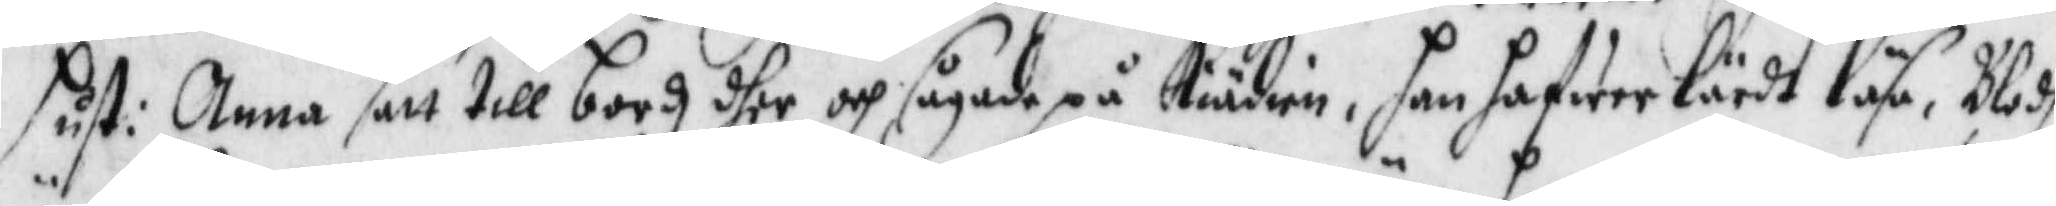hust: Anna satt till bordz dher och sågade på Kiädien, han hafwer lärdt läsa, Blodh
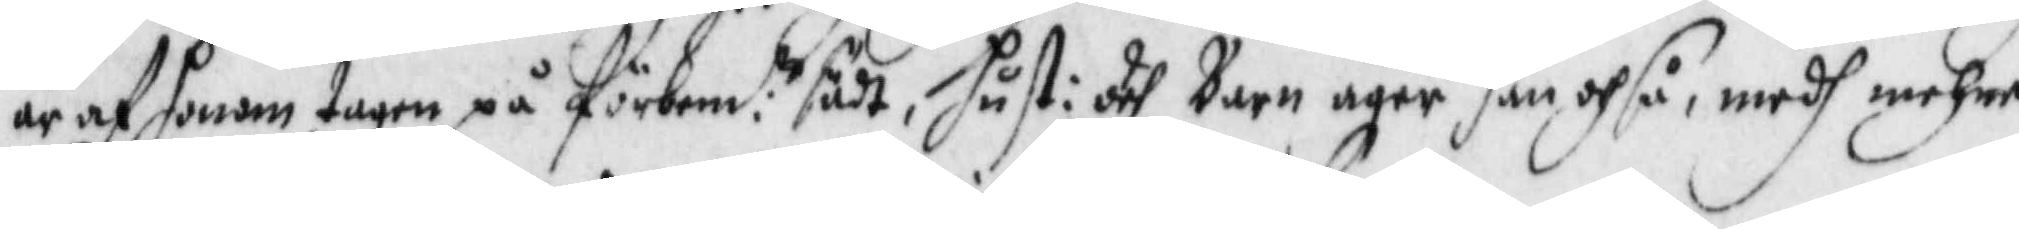är af honom tagen på förbem:e sädt, hust: och Barn äger han ochså, medh mehre
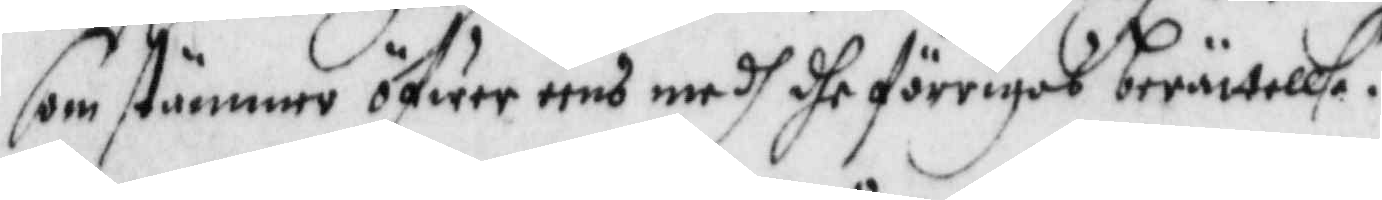som stämmer öfwereens medh dhe förrigas berättellse.
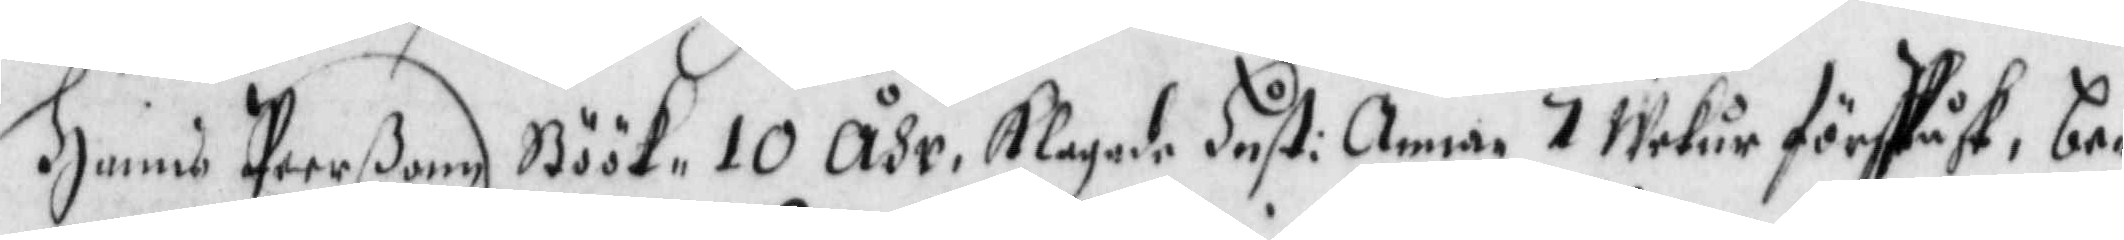Hanns Peerßonn Böök 10 Åhr Klagade Hust: Anna 7 wekur före Påsk, be¬
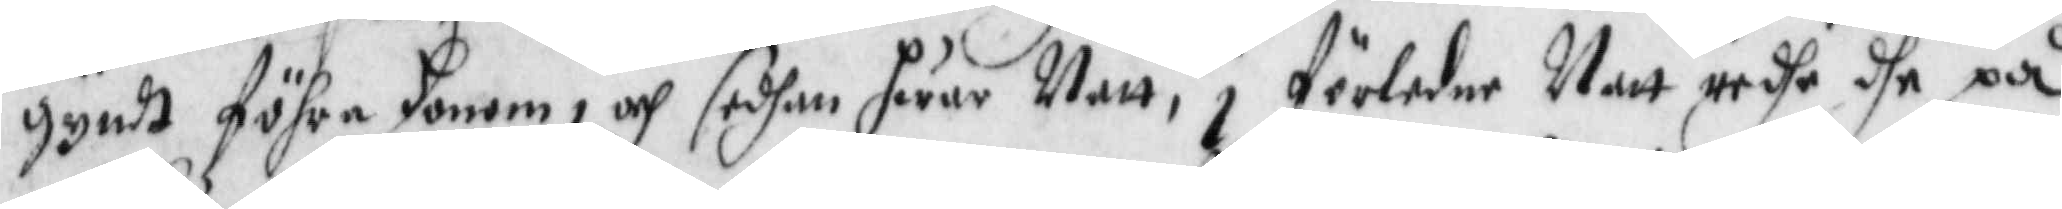gyndt föhra honom och sedhan hwar Natt, i förledne Natt redhe dhe på
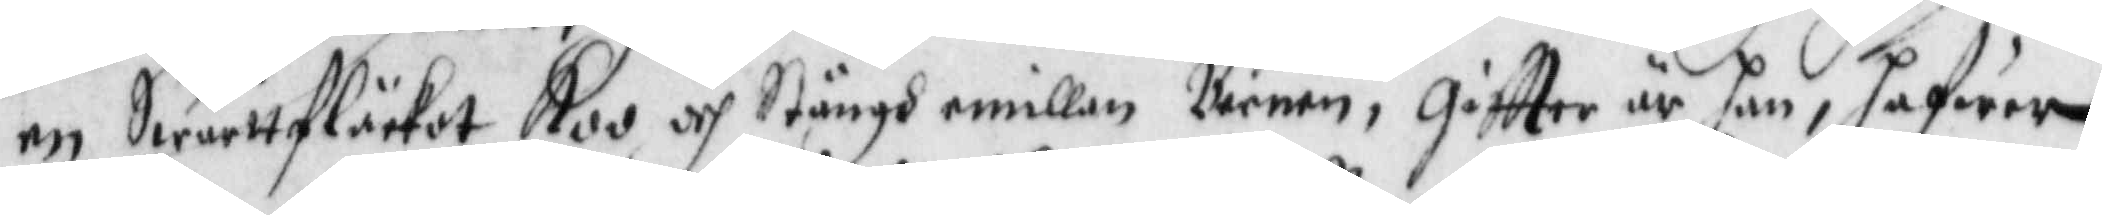en Swarttfläcket Koo och Stängh emillan Barnen, giftter är han, hafwer
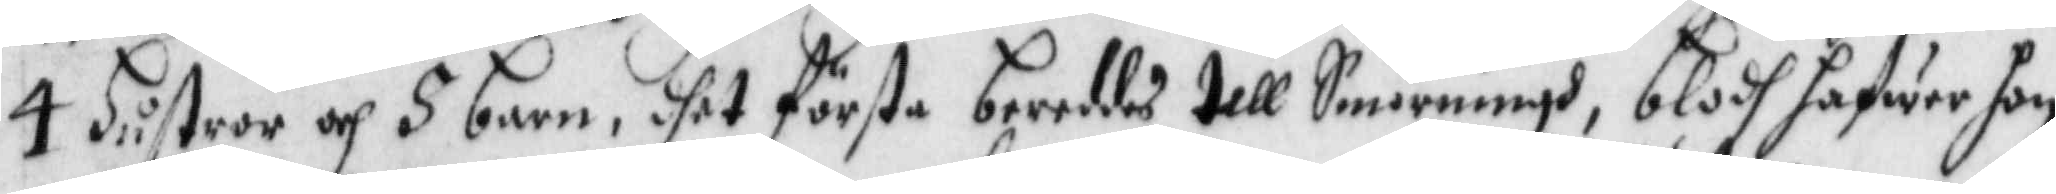4 Hustror och 5 barn, dhet förste beroddes till Sanningh, blodh jafwer hon
